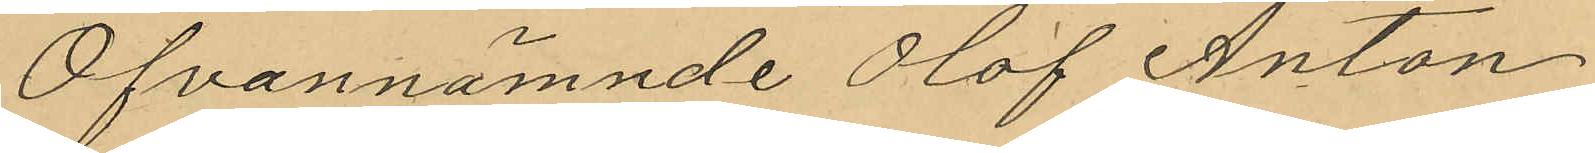Ofvannämnde Olof Anton
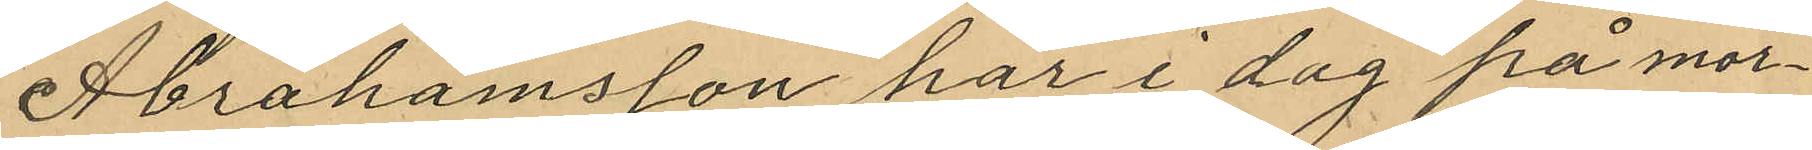Abrahamsson har i dag på mor¬
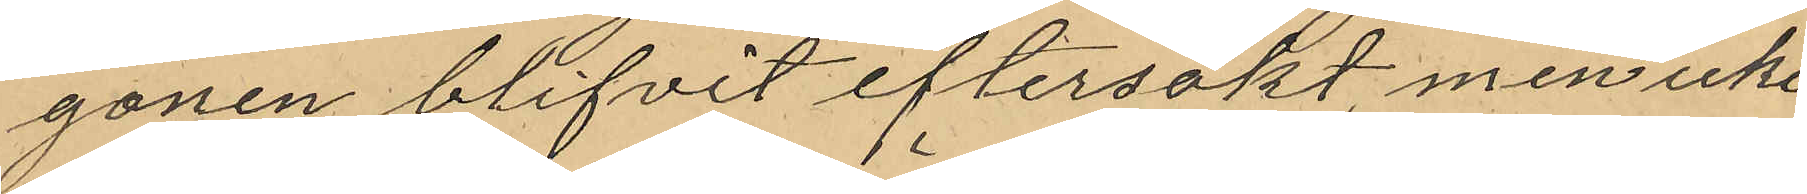gonen blifvit eftersökt, men icke
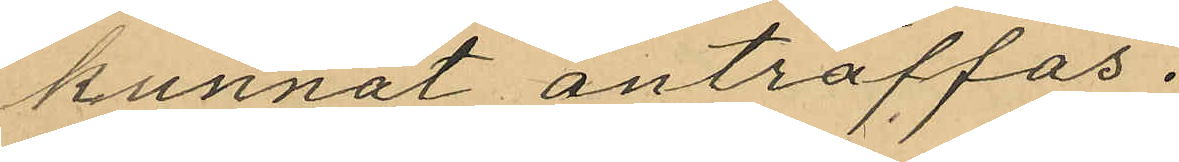kunnat anträffas.
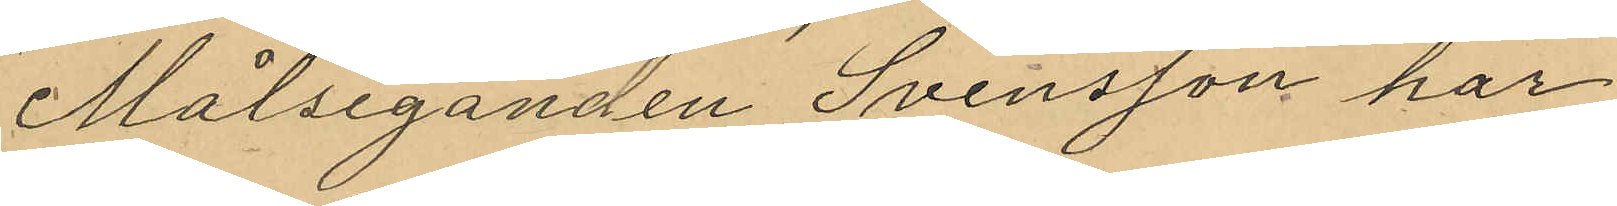Målseganden Svensson har
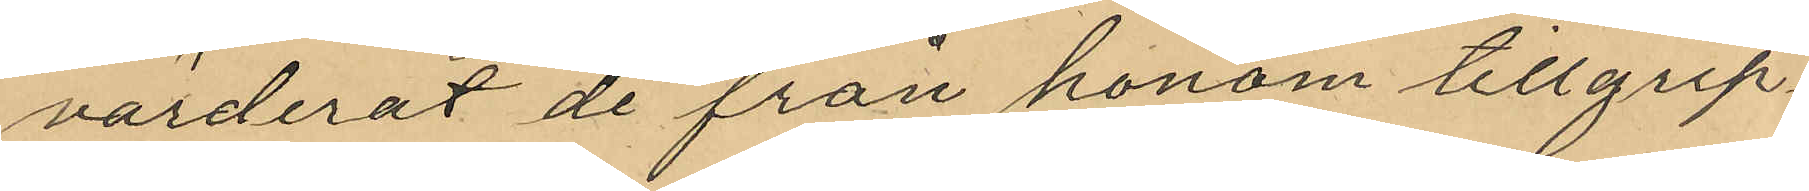värderat de från honom tillgrip¬
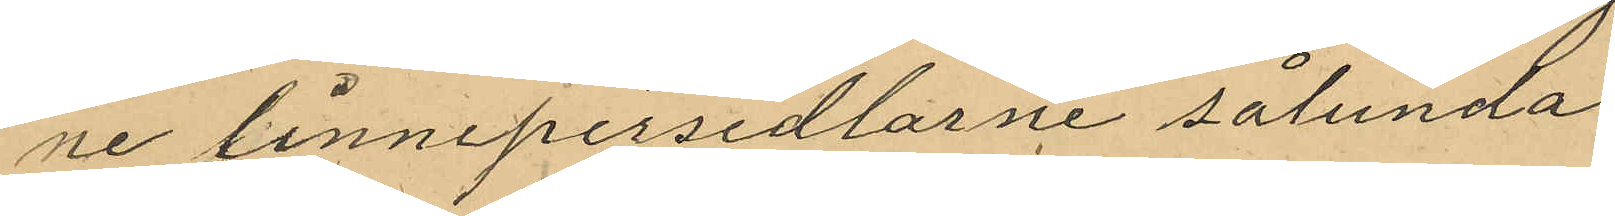ne linnepersedlarne sålunda
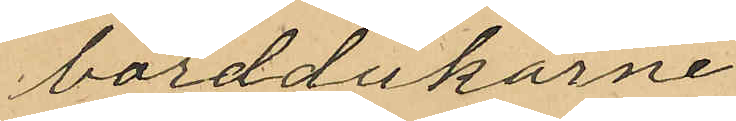borddukarne
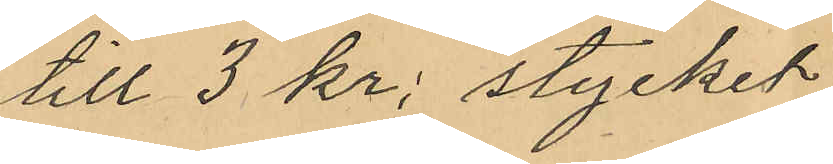till 3 kr. stycket
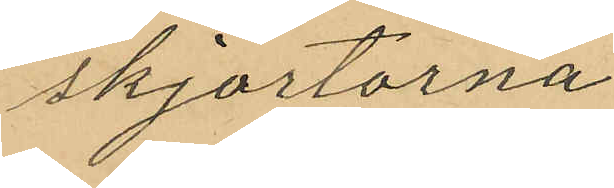skjortorna
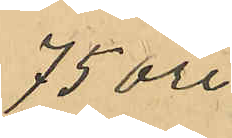75 öre
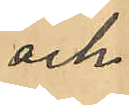och
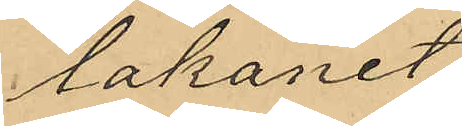lakanet
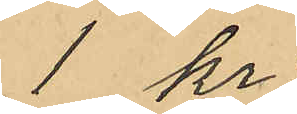1 kr;
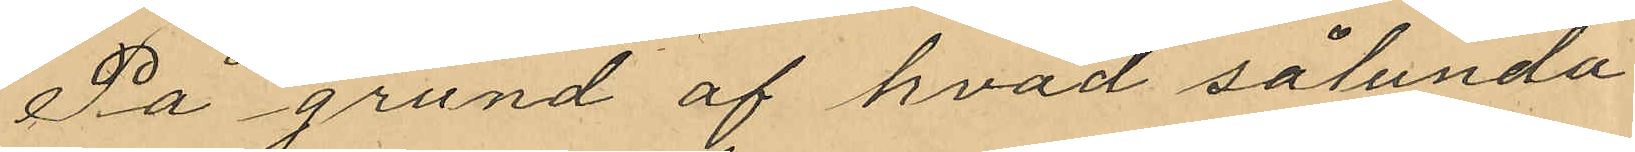På grund af hvad sålunda
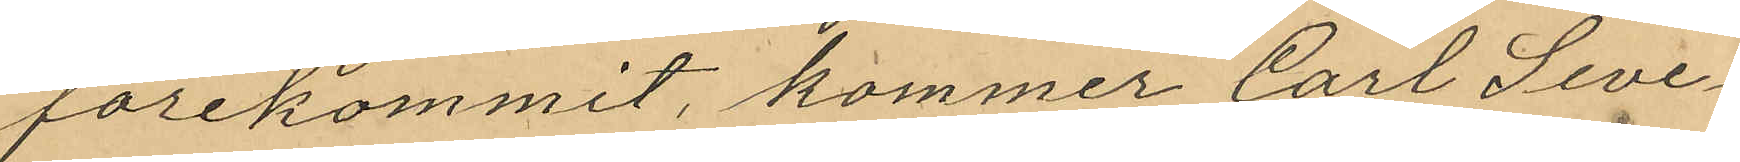förekommit, kommer Carl Seve¬
